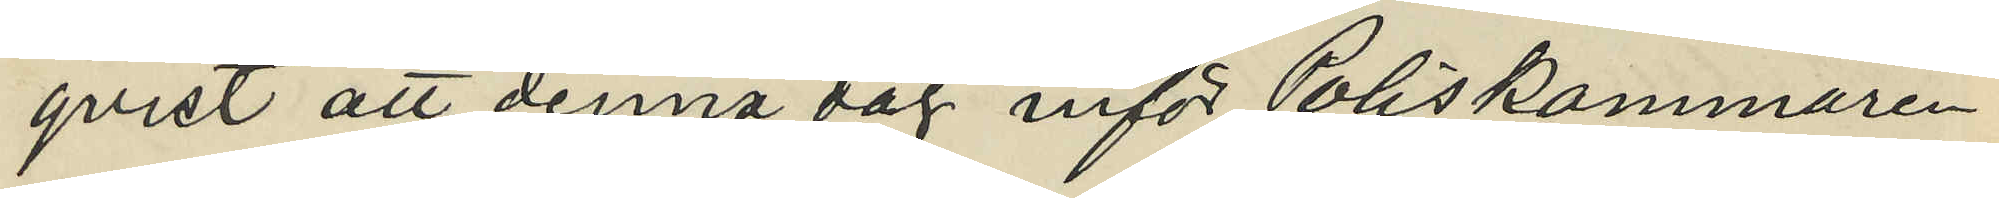qvist att denna dag inför Poliskammaren
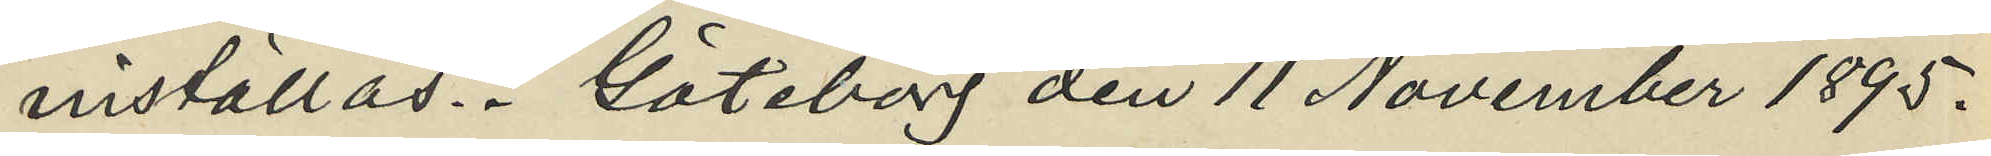inställas. Göteborg den 11 November 1895.
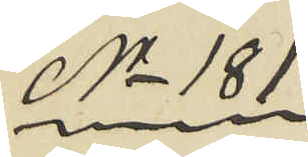No 181
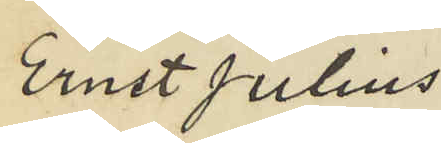Ernst Julius
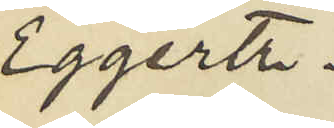Eggertz.
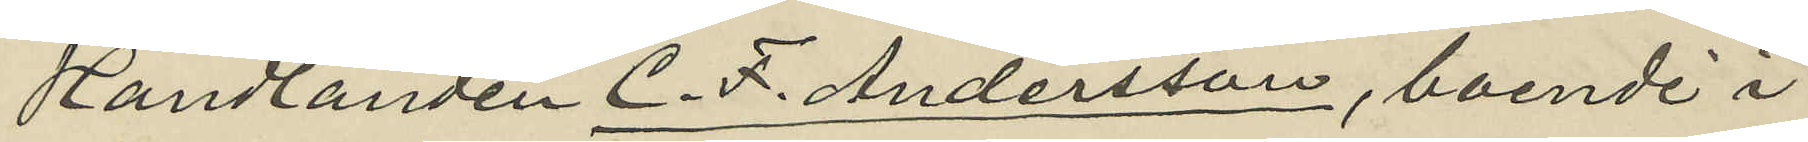Handlanden C. F. Andersson, boende i
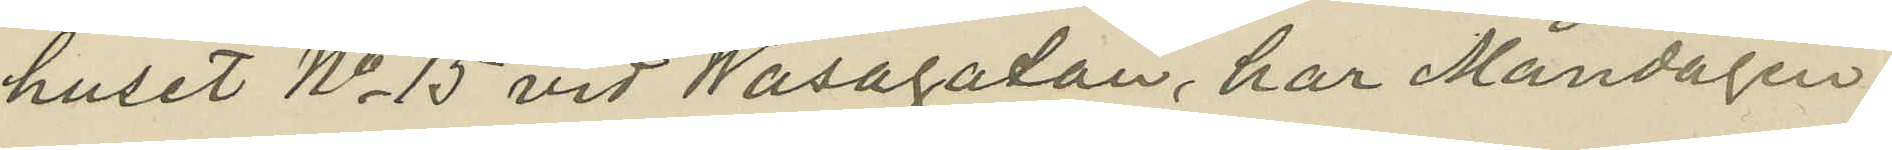huset No 15 vid Wasagatan, har Måndagen
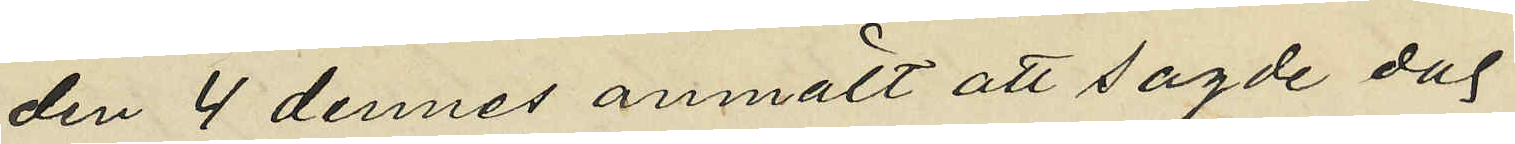den 4 dennes anmält att sagde dag
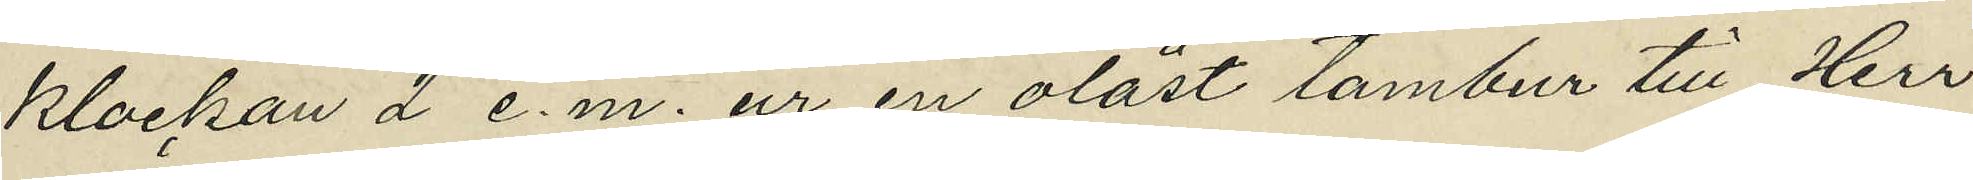klockan 2 e.m. ur en olåst tambur till Herr
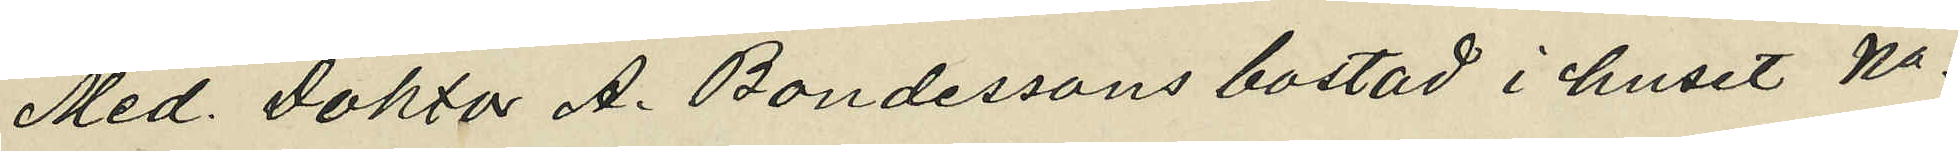Med. Doktor A. Bondessons bostad i huset No
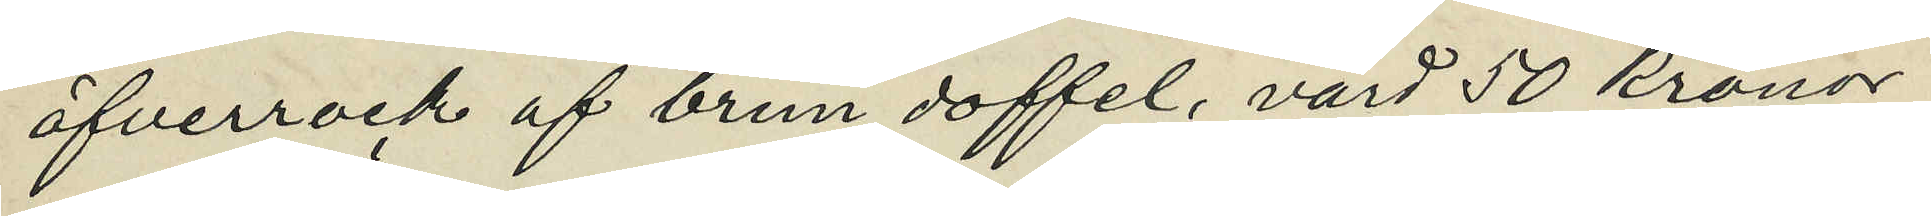öfverrock af brun doffel, värd 50 kronor
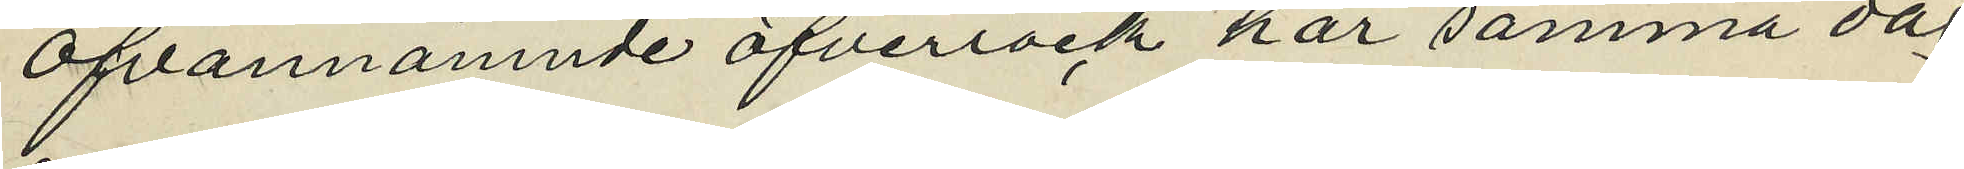Ofvannämnde öfverrock har samma dag
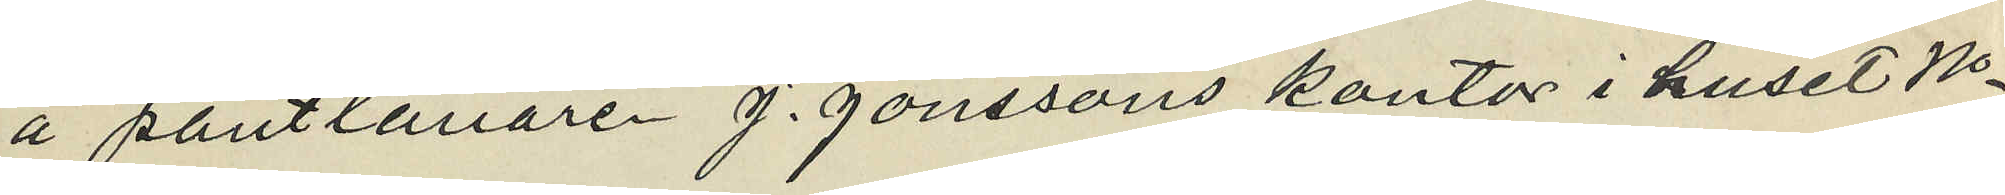å pantlånaren J. Jonssons kontor i huset No
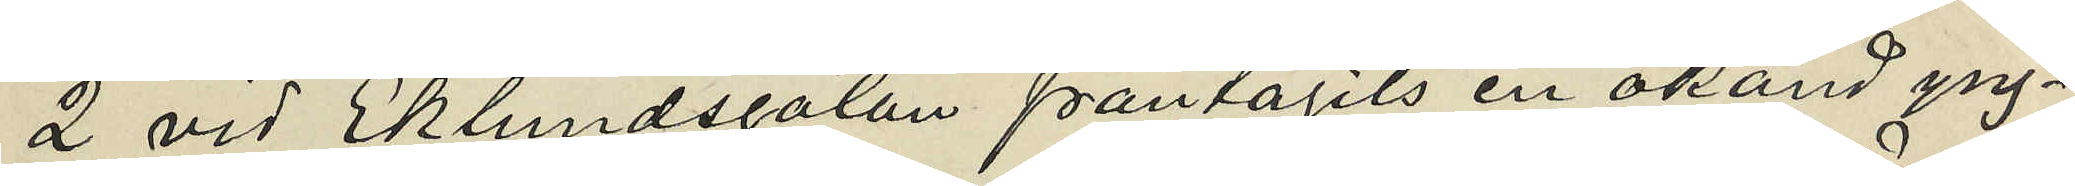2 vid Eklundsgatan fråntagits en okänd yng¬
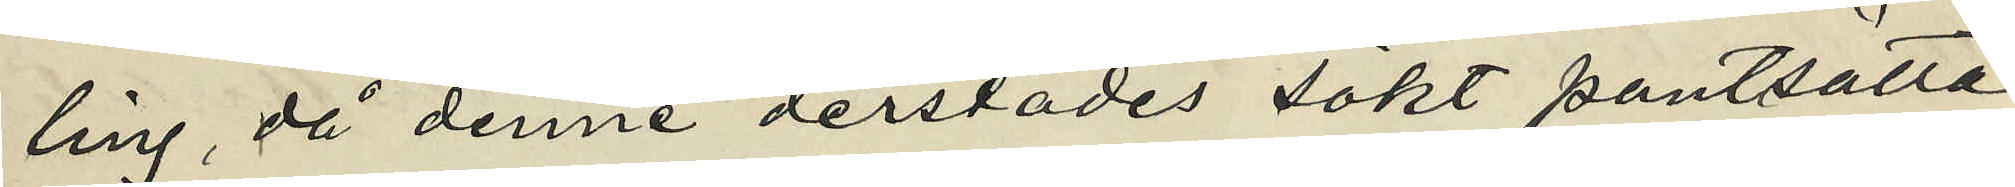ling, då denne derstädes sökt pantsatta
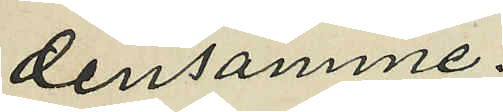densamme.
